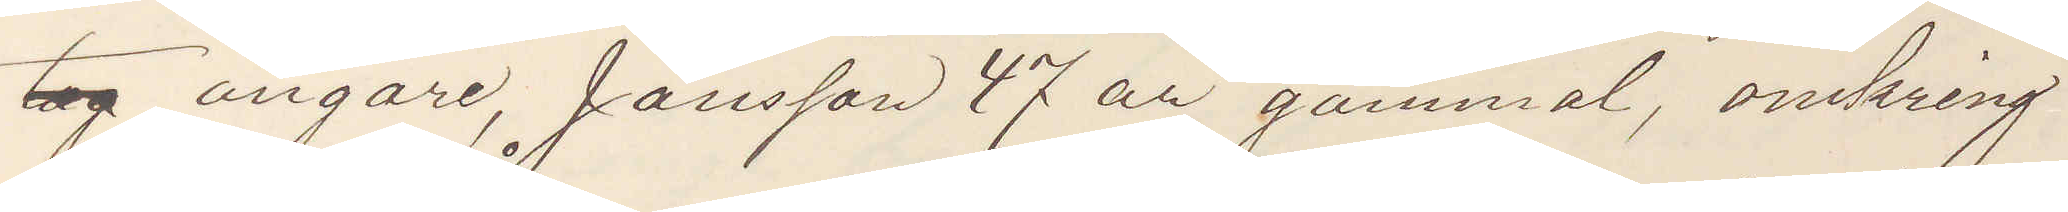bog ångare, Jansson 47 år gammal, omkring
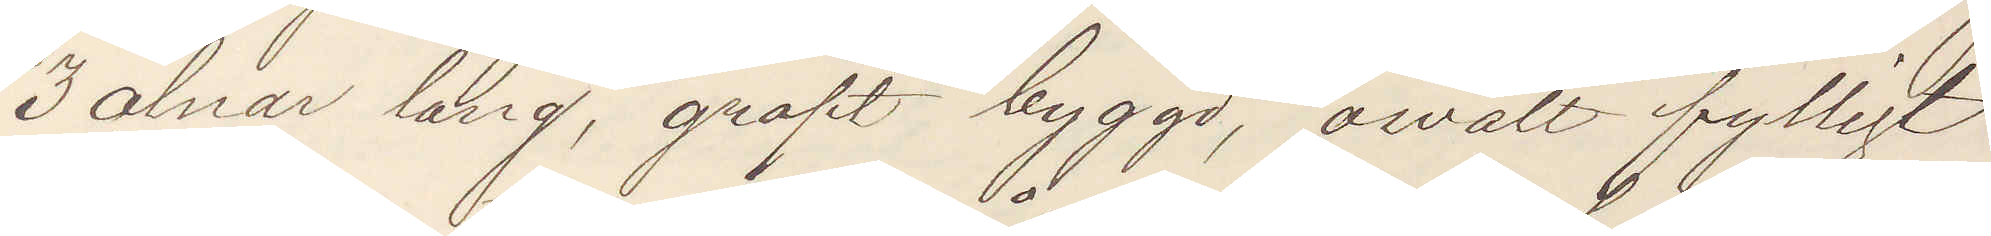3 alnar lång, groft byggd, ovalt fylligt
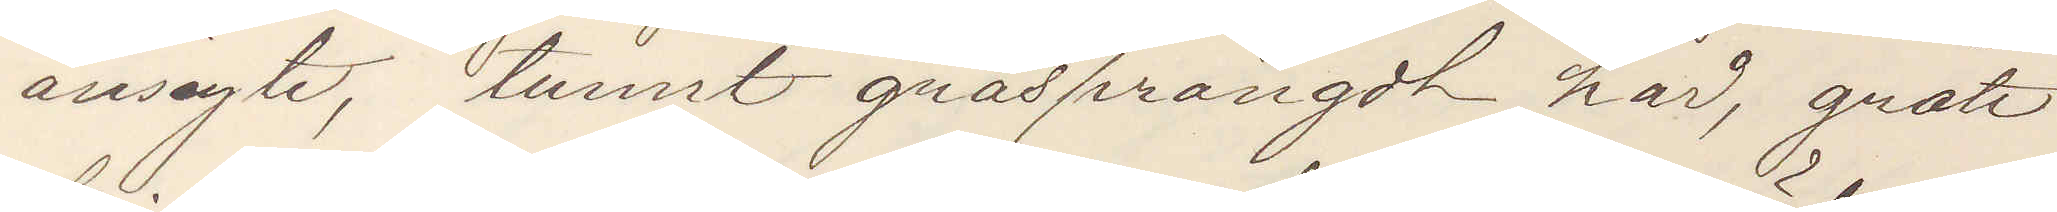ansigte, tunnt gråsprängdt hår, grått
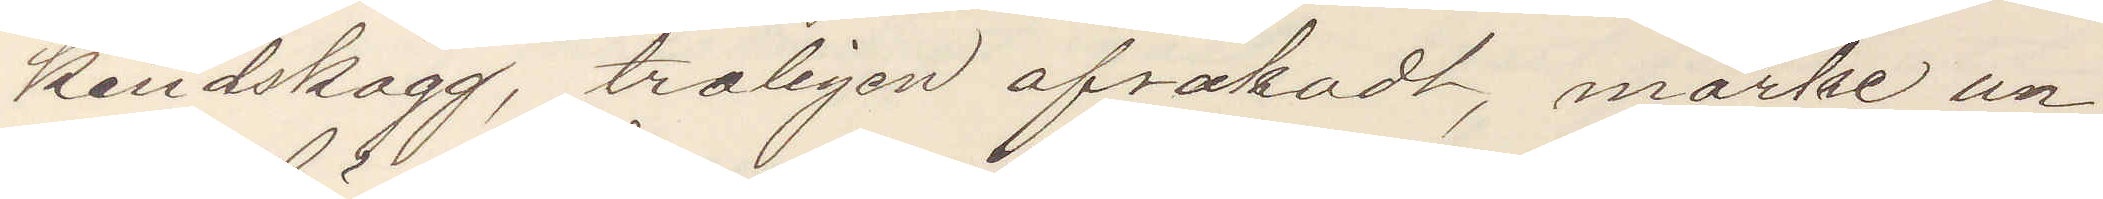kindskägg, troligen afrakadt, märke un¬
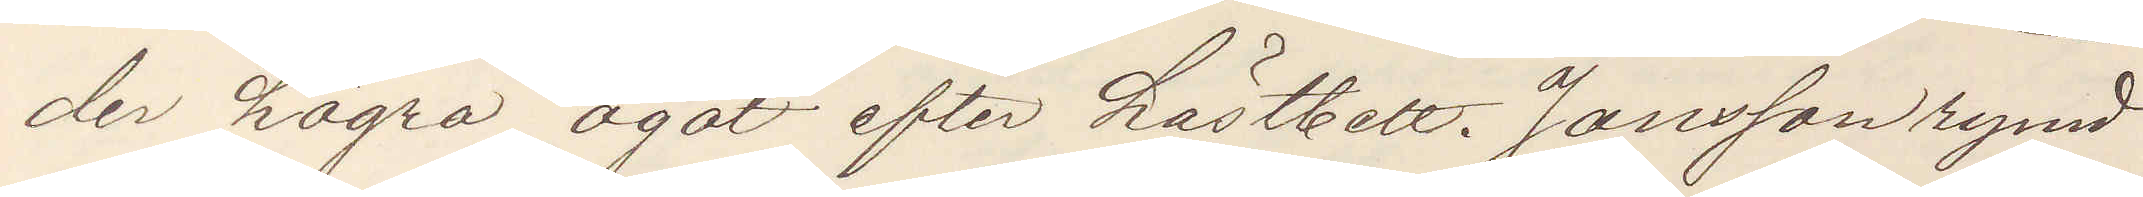der högra ögat efter hästbett. Jansson rymd
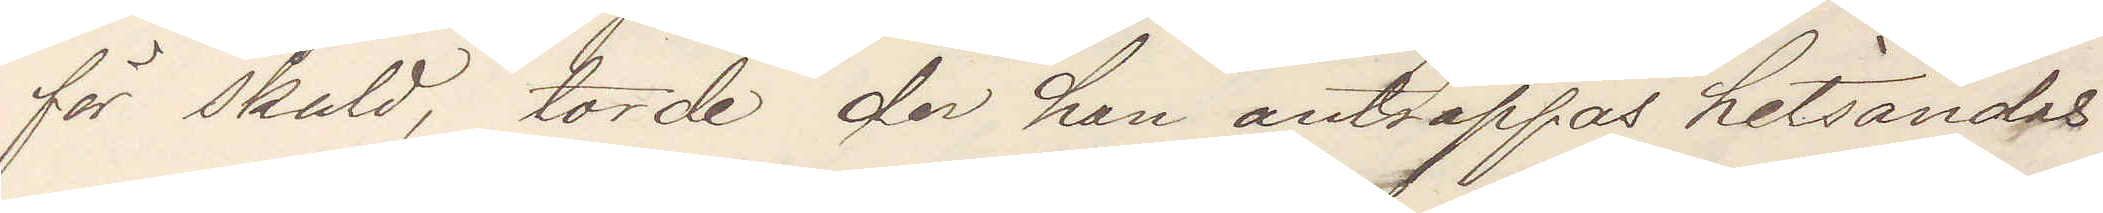för skuld, torde der han anträffas hitsändas
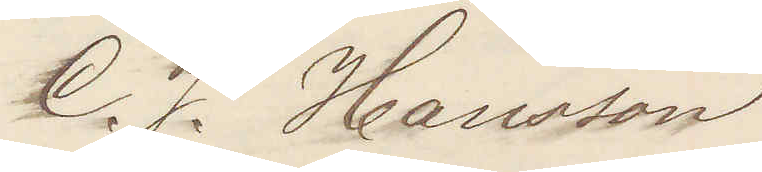C. J. Hansson
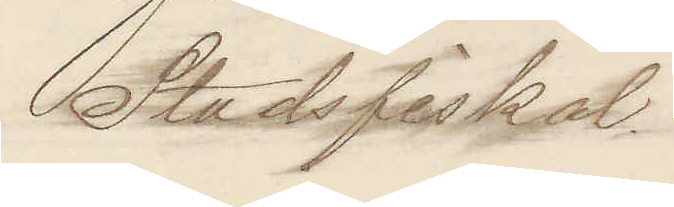Stadsfiskal
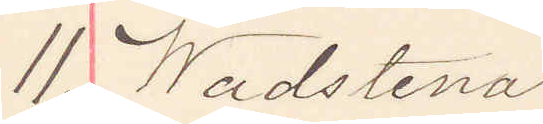11. Wadstena
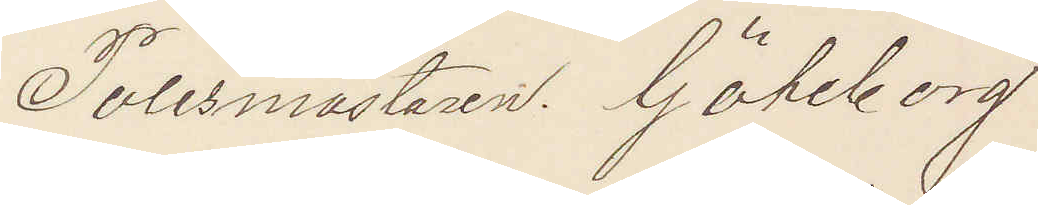Polismästaren Göteborg
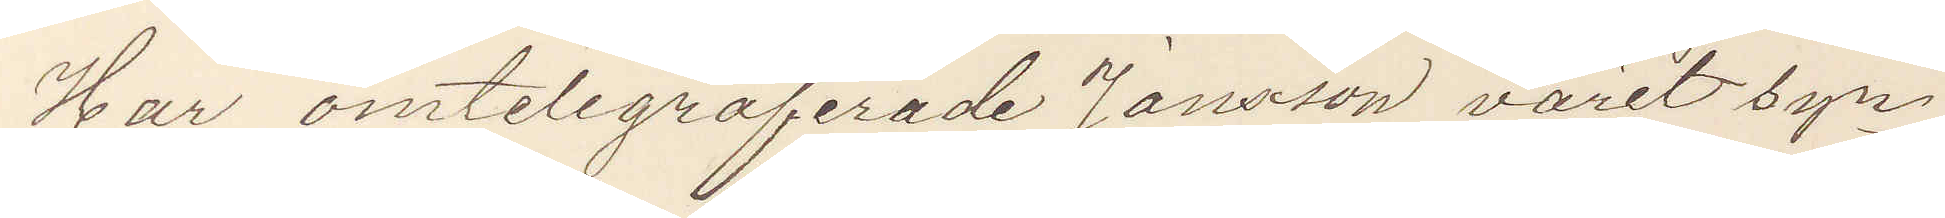Har omtelegraferade Jansson varit syn¬
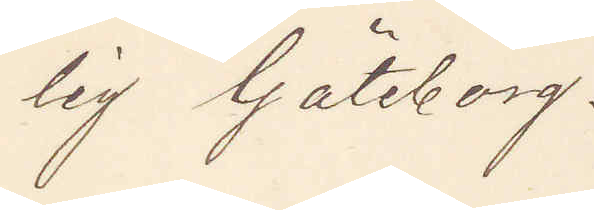lig Göteborg.
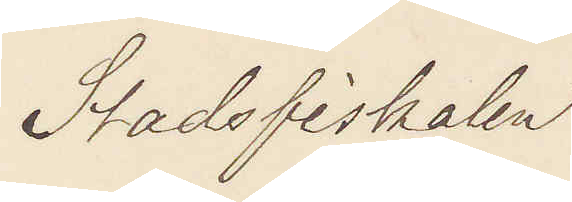Stadsfiskal
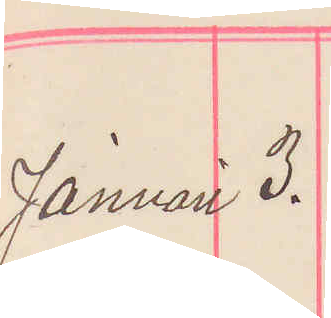Januari 3.
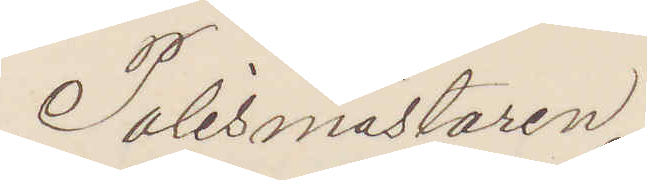Polismästaren
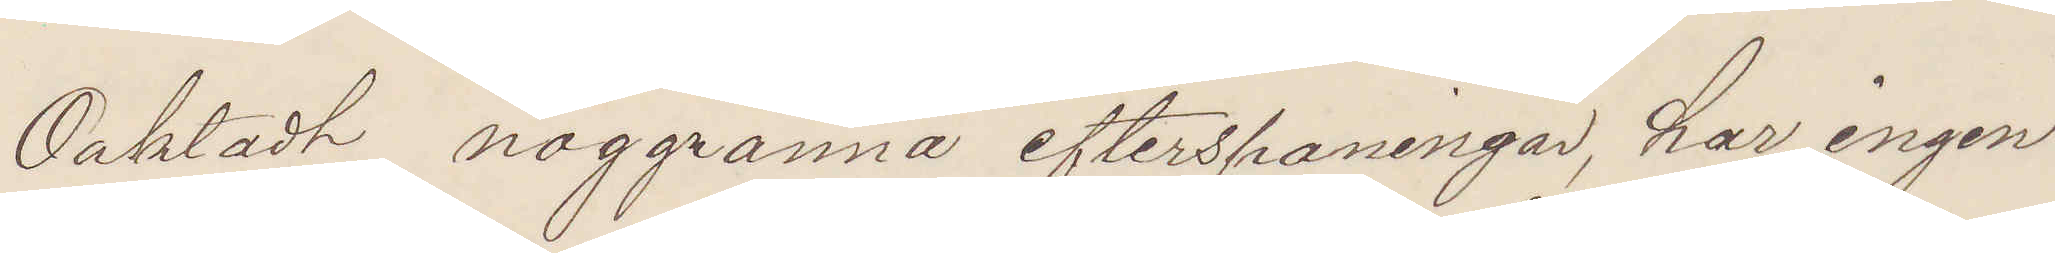Oaktadt noggranna efterspaningar, har ingen
